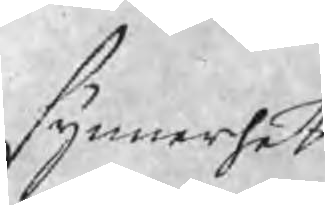synnerhet
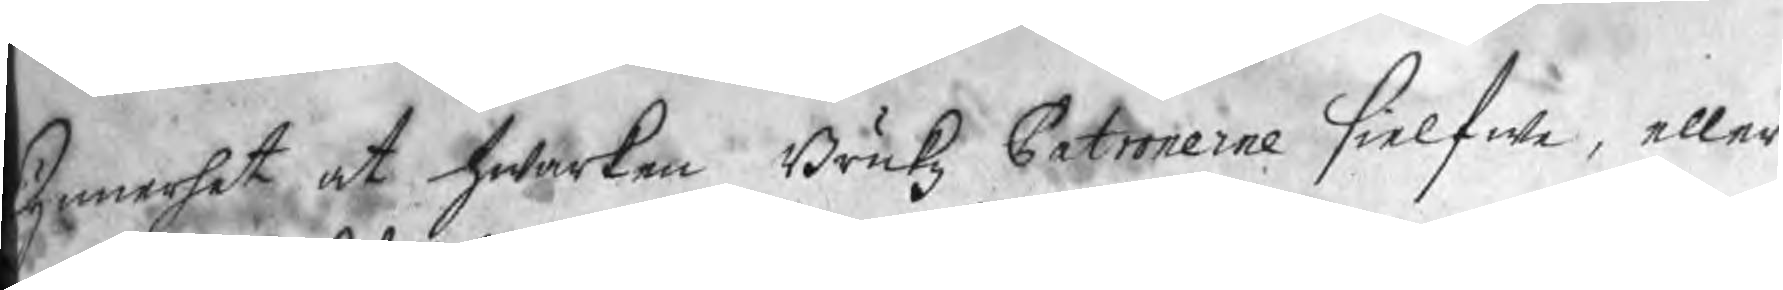synnerhet at hwarken Brukz Patronerne sielfwa, eller
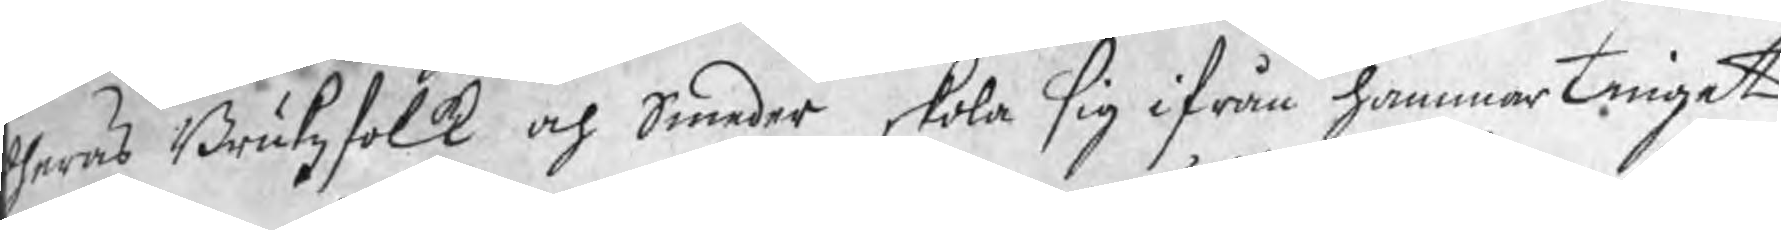heras Brukzfolk och Smeder skola sig ifrån hammartinget
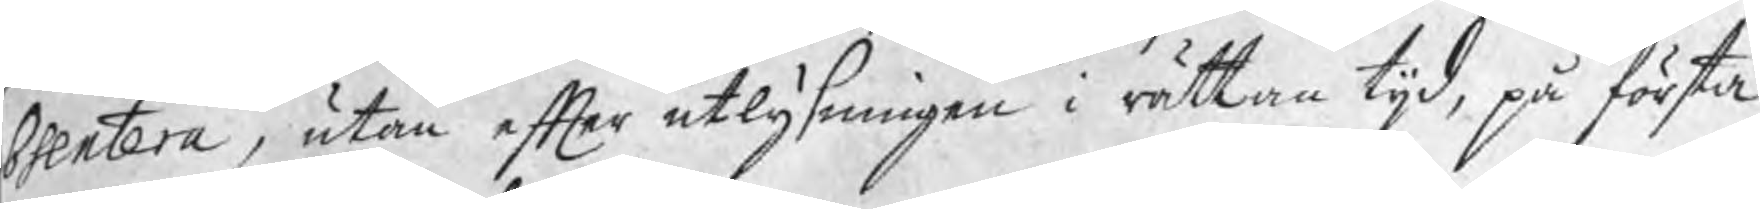bsentera, utan efter utlysningen i rättan tijd, på första
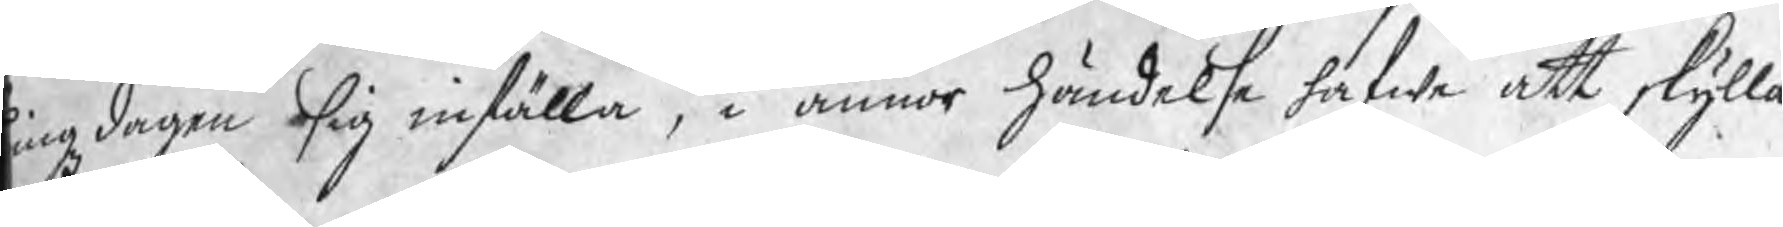ingzdagen sig inställa, i annor händelse hafwa att skylla
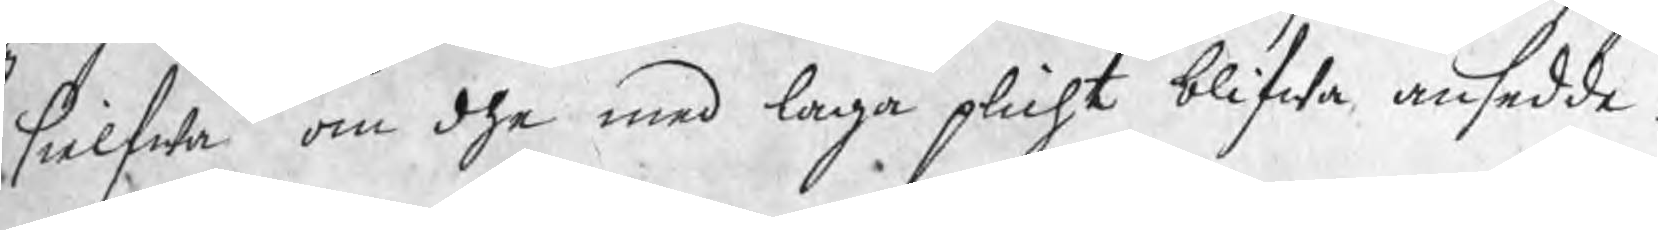g sielfwa om dhe med laga plicht blifwa ansedde.
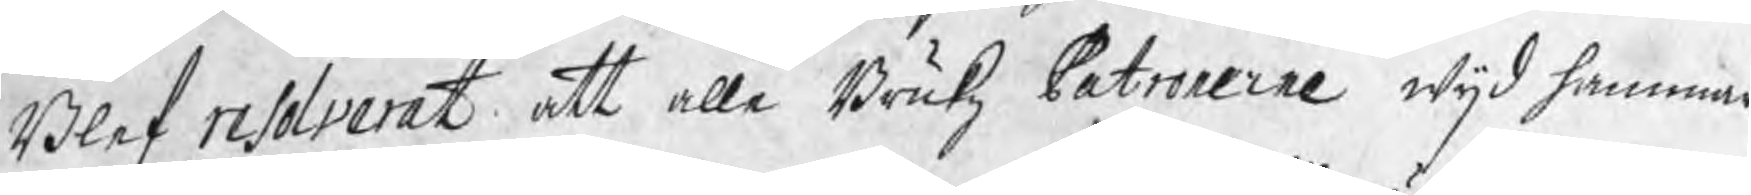Blef resolverat att alle Brukz Patronerne wijd hammar¬
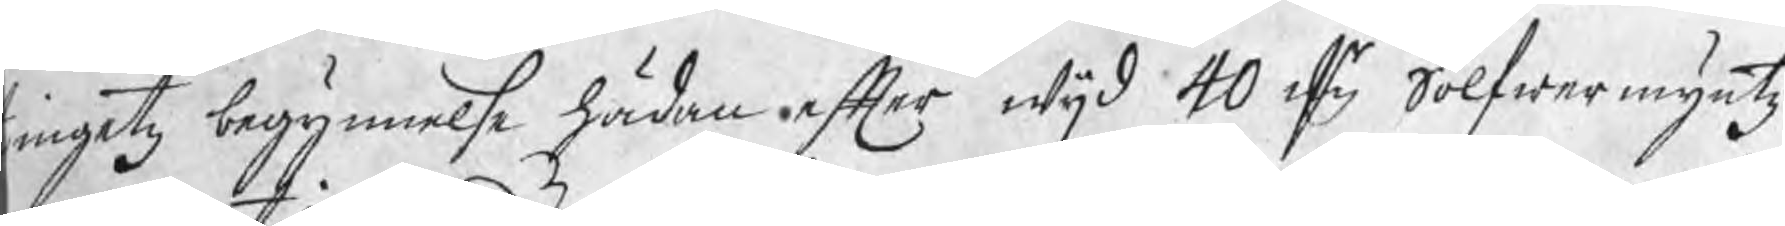ingetz begynnelse hädan efter wijd 40 dr Sölfwermyntz
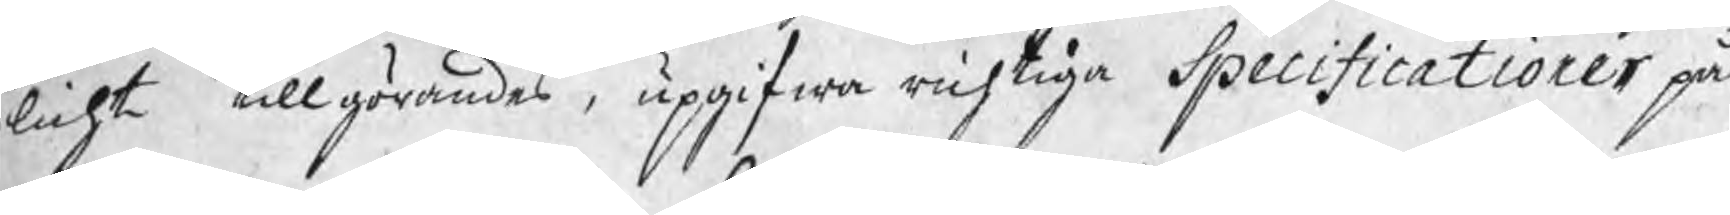licht tillgörandes, upgifwa richtiga Specificationer på
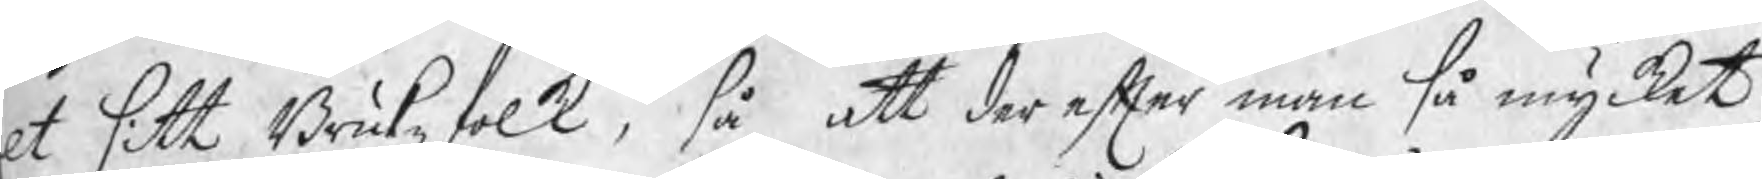lt sitt Brukzfolk, så att der efter man så mycket
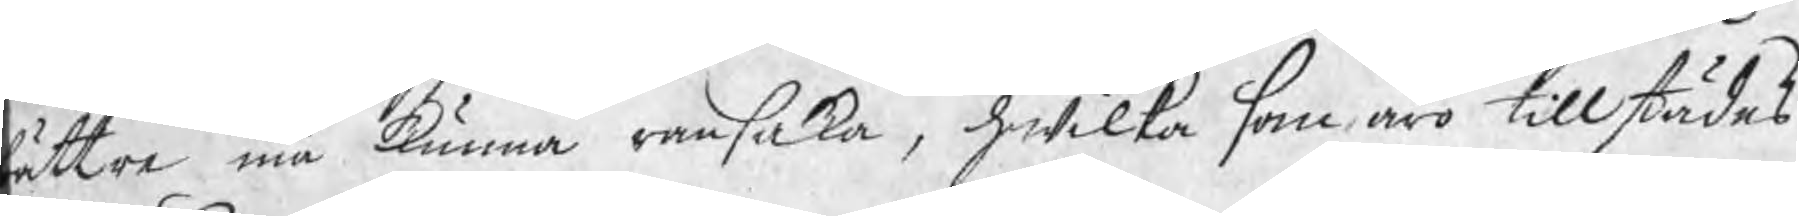ättre må kunna ransaka, hwilka som äro tillstädes
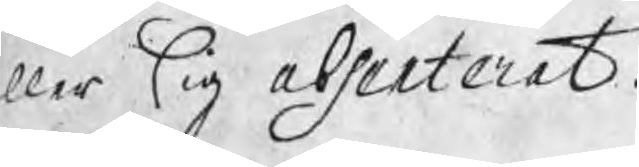ller sig absenterat.
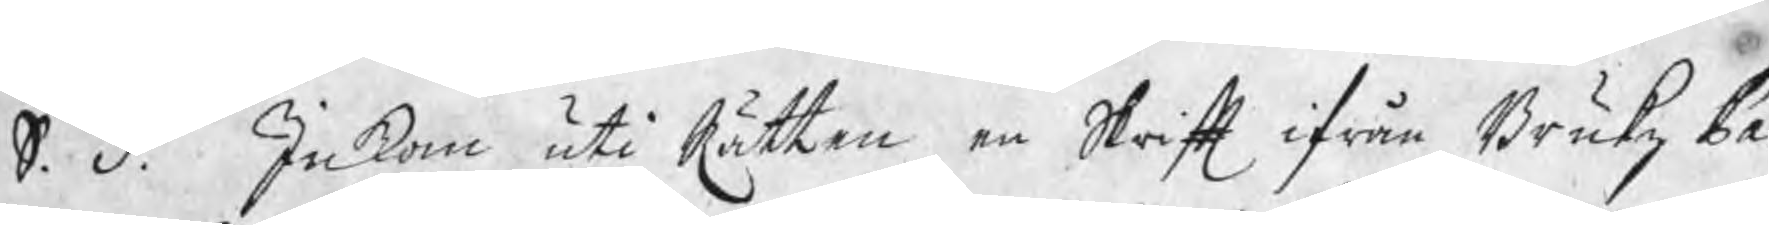S. d. Inkom uti Rätten en Skrift ifrån Brukz Pa¬
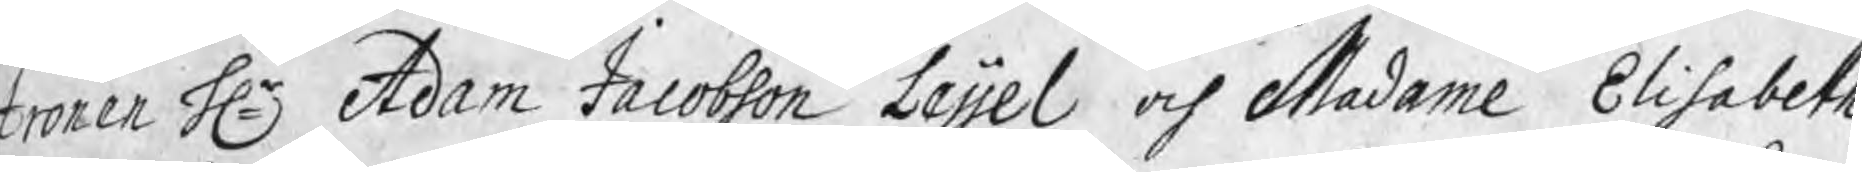tronen Hr Adam Jacobson Leijel och Madame Elisabeth
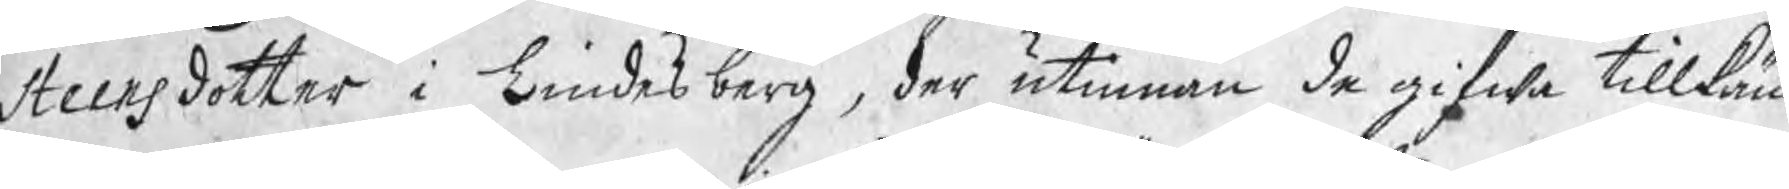Steensdotter i Lindesberg, der utinnan de gifwa tillkän¬
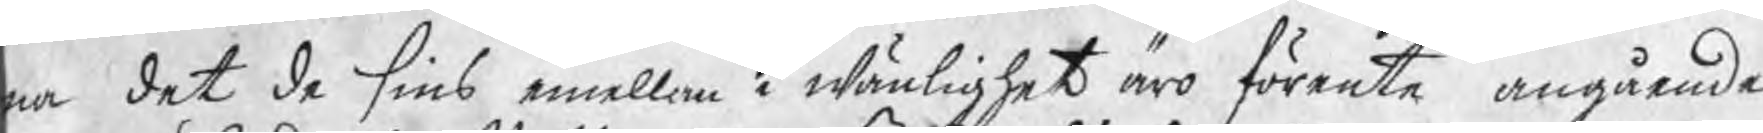na det de sins emellan i wänlighet äro förente angående
